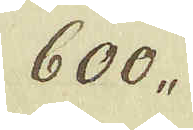600,,
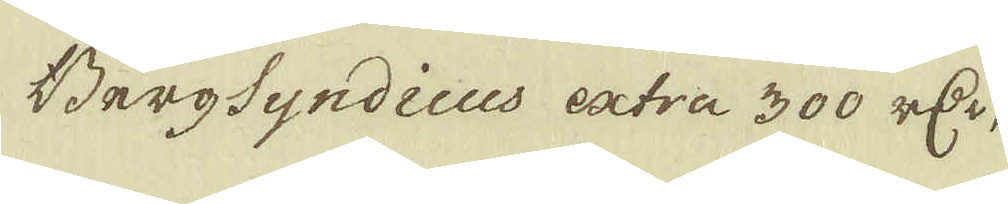BergSyndicus extra 300 rDr, 500. 8
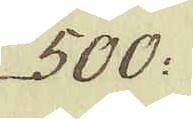500:
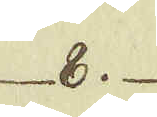8.
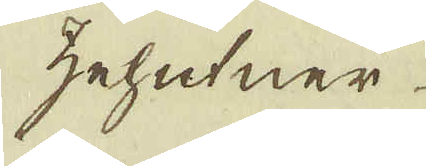zehutner
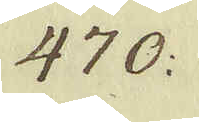470:
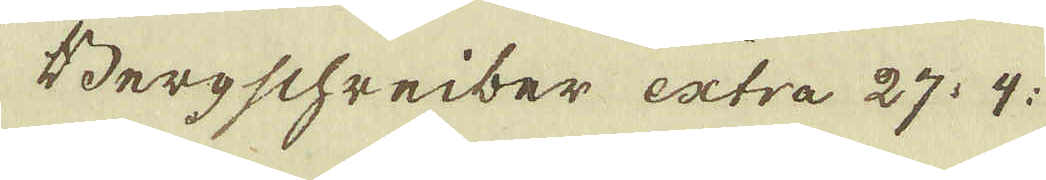Bergschreiber extra 27. 4:
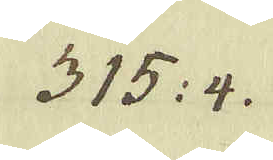315: 4.
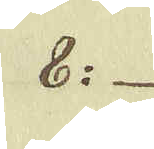8:
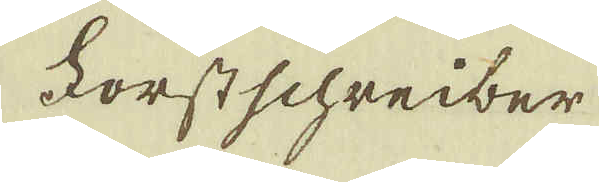Forstschreiber
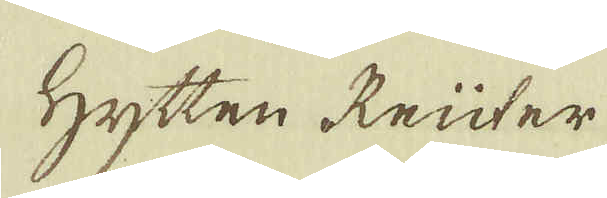Hytten Reüter
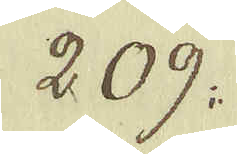209:
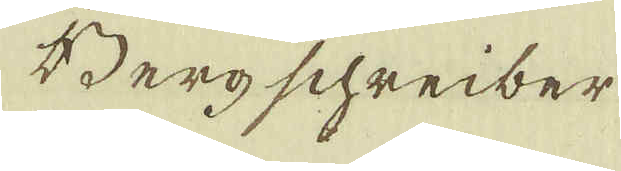Berg schreiber
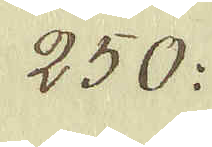250:
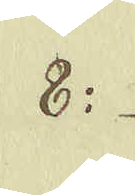8:
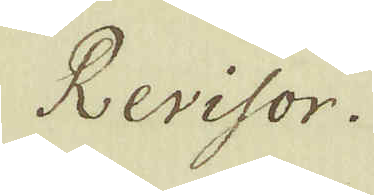Revisor.
